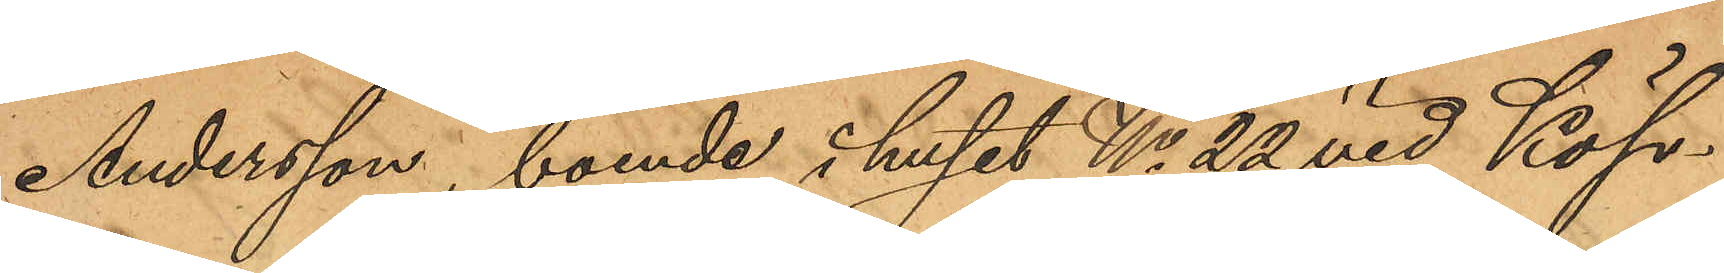Andersson, boende i huset No 22 vid Köp¬
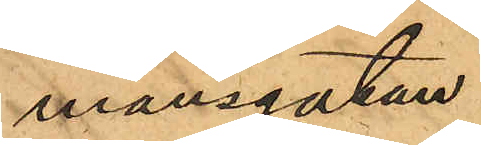mansgatan.
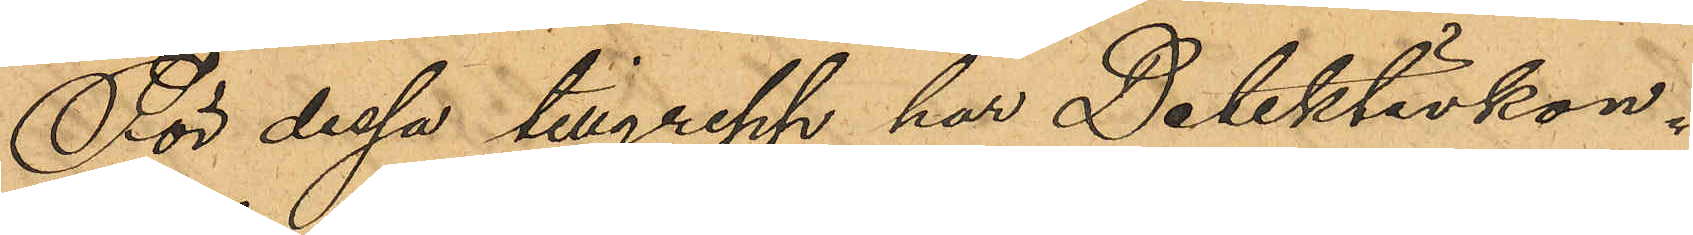För dessa tillgrepp har Detektivkon¬
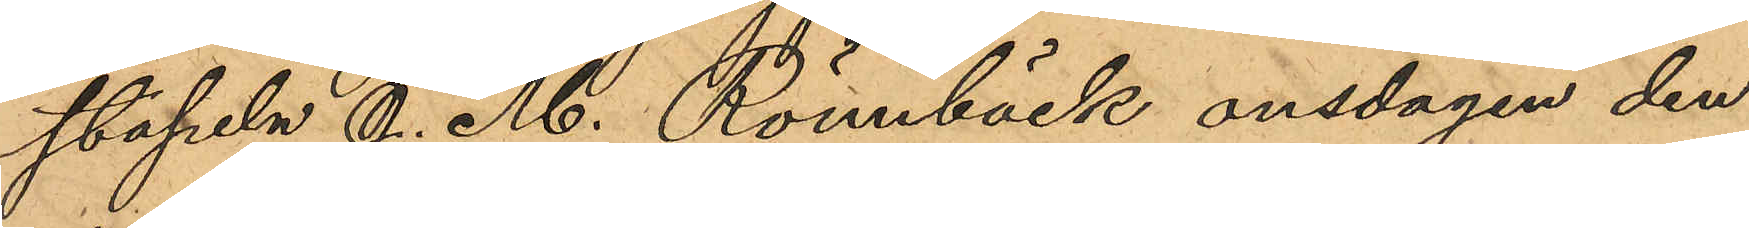stapeln J. M. Rönnbäck onsdagen den
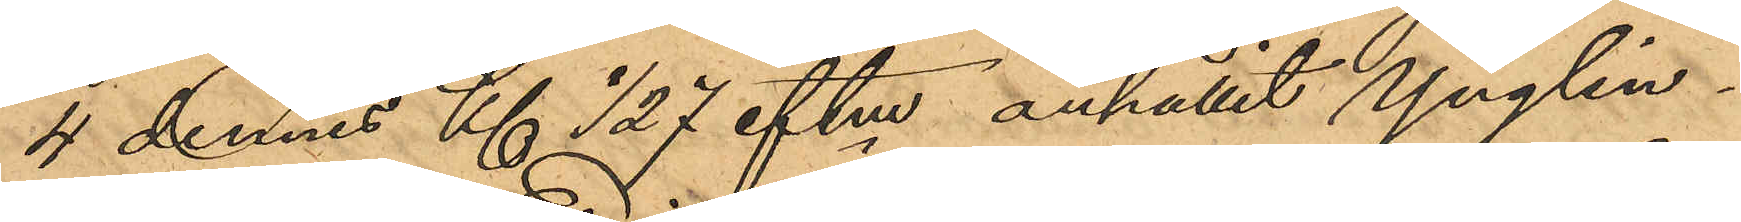4 dennes Kl ½ 7 eftm anhållit Ynglin¬
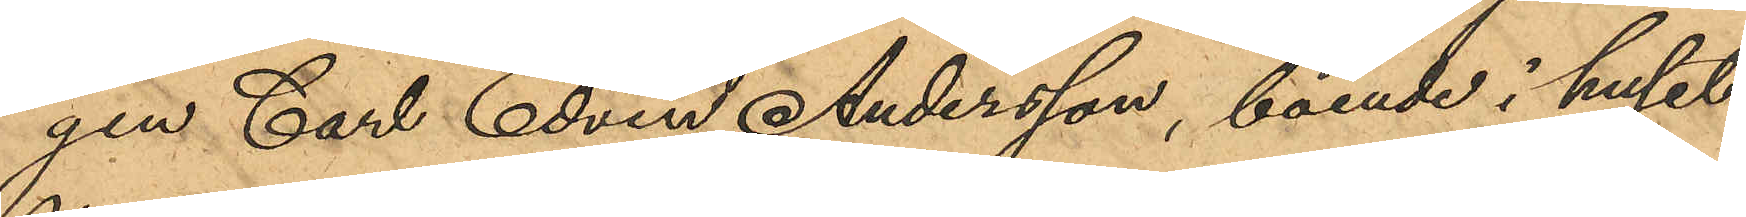gen Carl Edvin Andersson, boende i huset
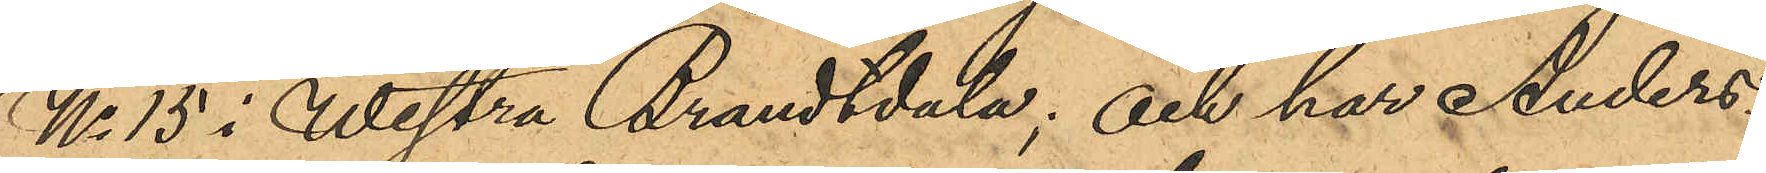No 15 i Westra Brandtdala; och har Anders¬
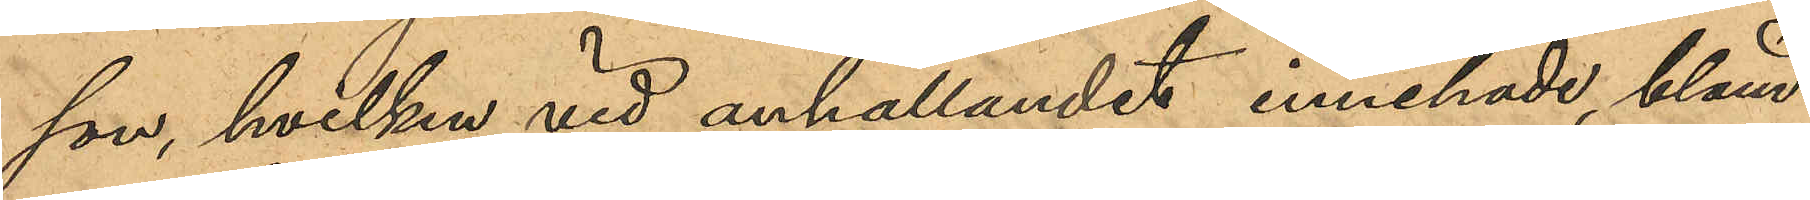son, hvilken vid anhållandet innehade, bland
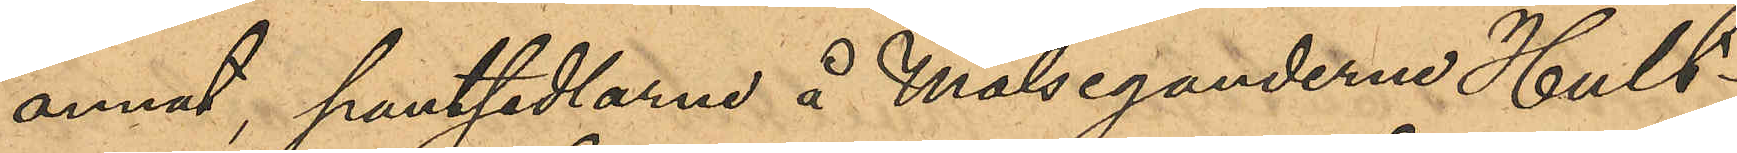annat, pantsedlarne å Målseganderne Hult¬
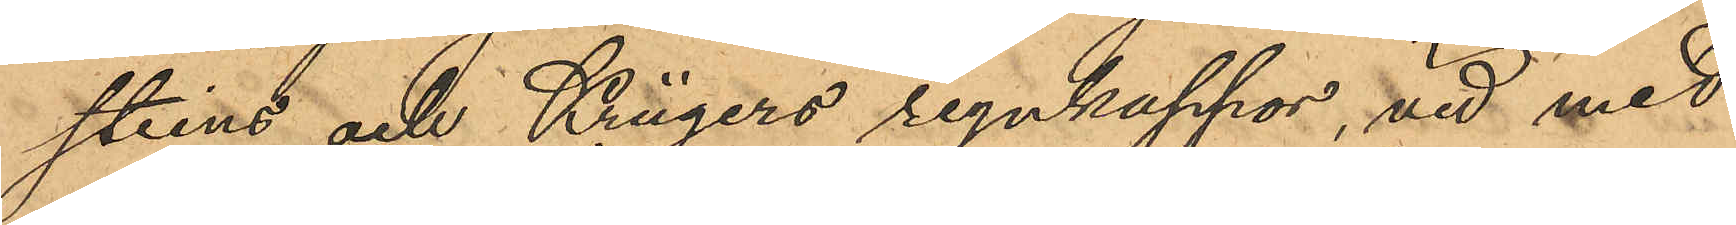steins och Krügers regnkappor, vid med
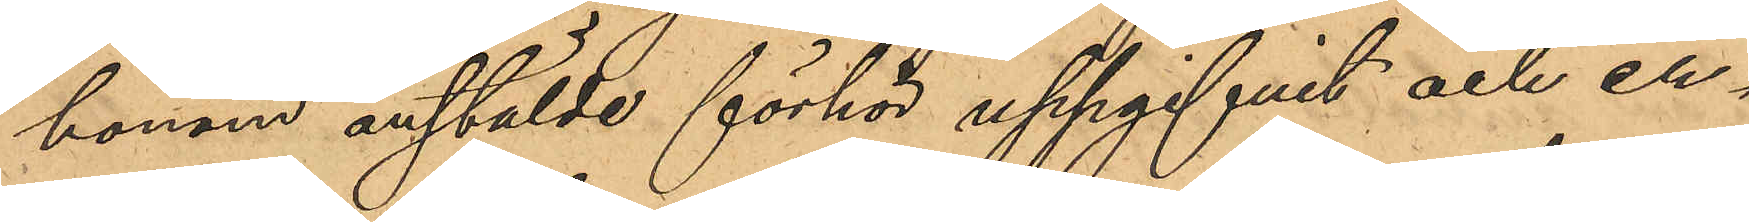honom anstälde förhör uppgifvit och er¬
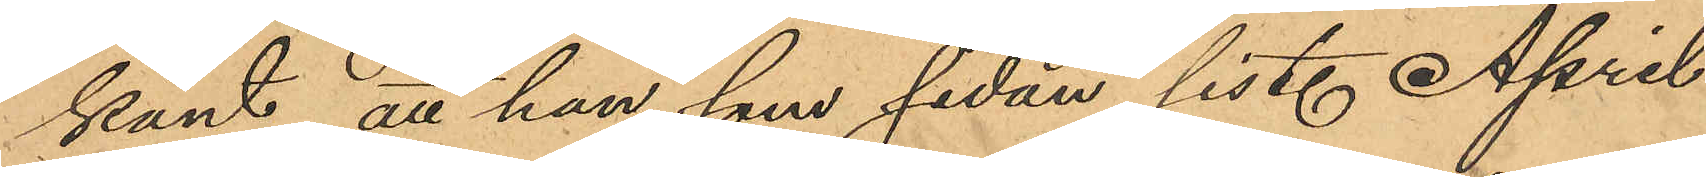känt, att han som sedan sist. April
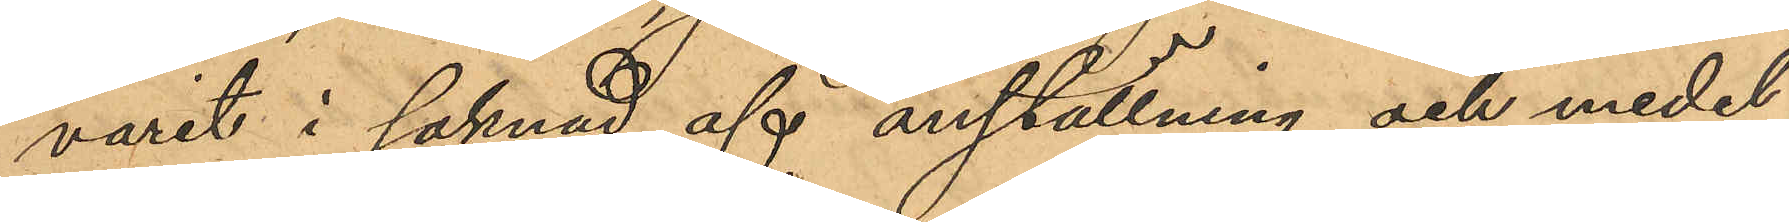varit i saknad af anställning och medel
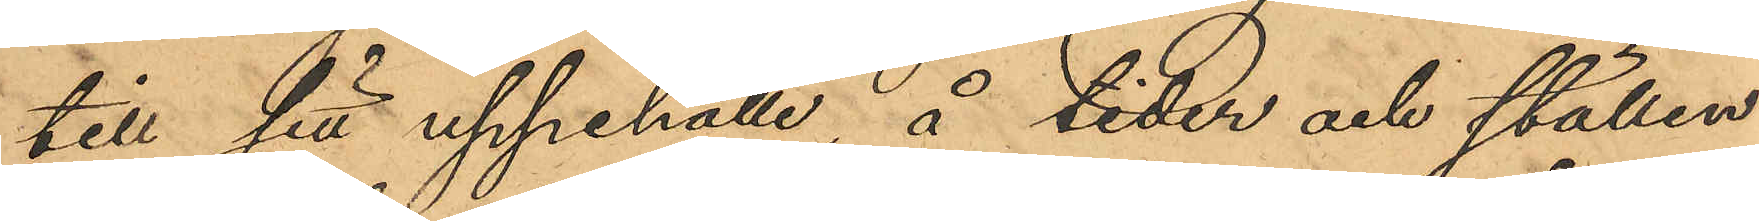till sitt uppehälle, å tider och ställen
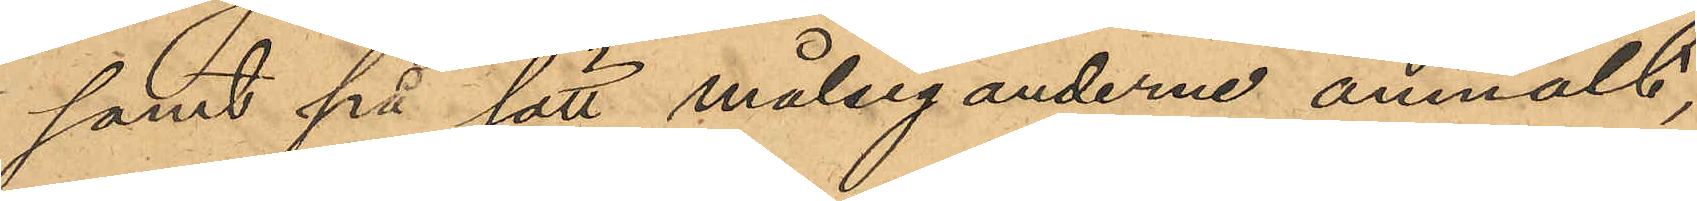samt på sätt målseganderne anmält,
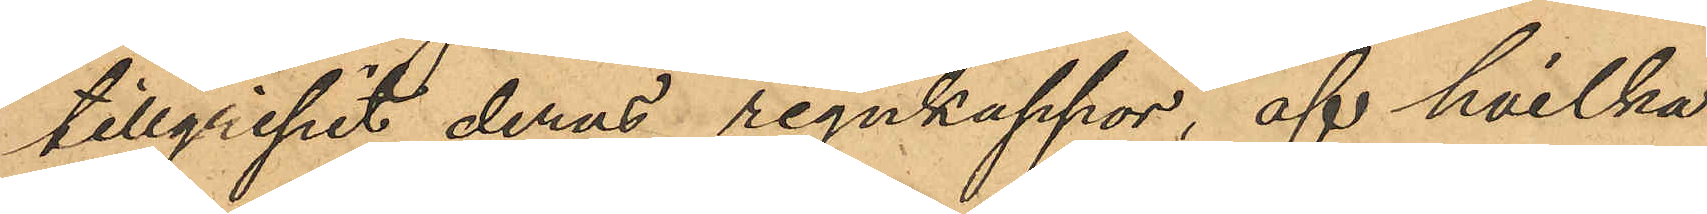tillgripit deras regnkappor, af hvilka
